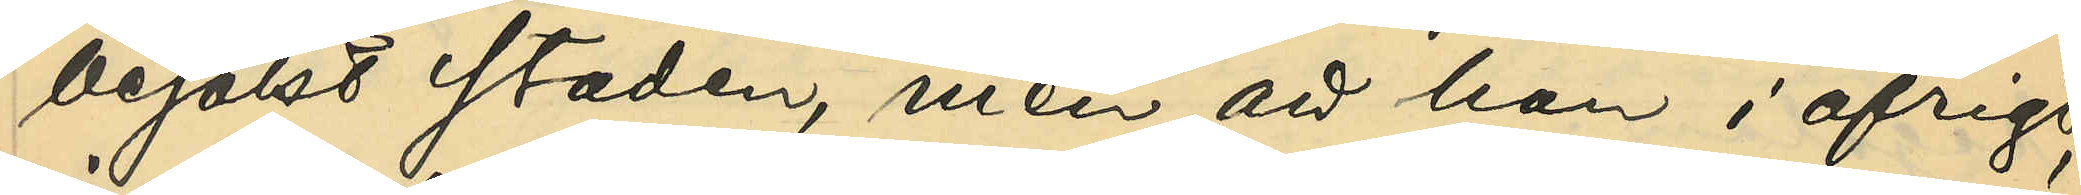besökt staden, men att han i öfrigt
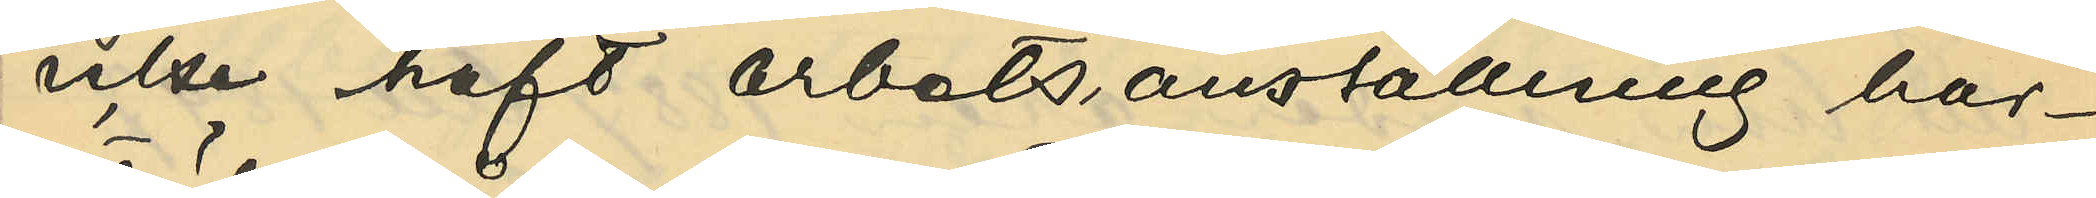icke haft arbetsanställning här¬
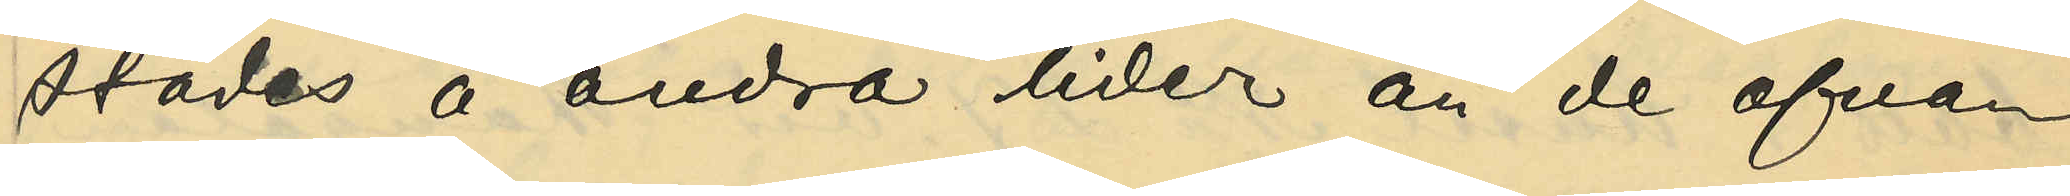städes å andra tider än de ofvan
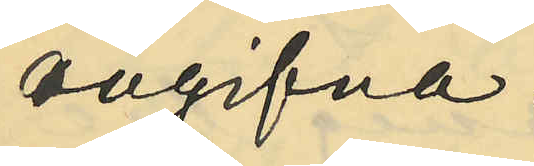angifna.
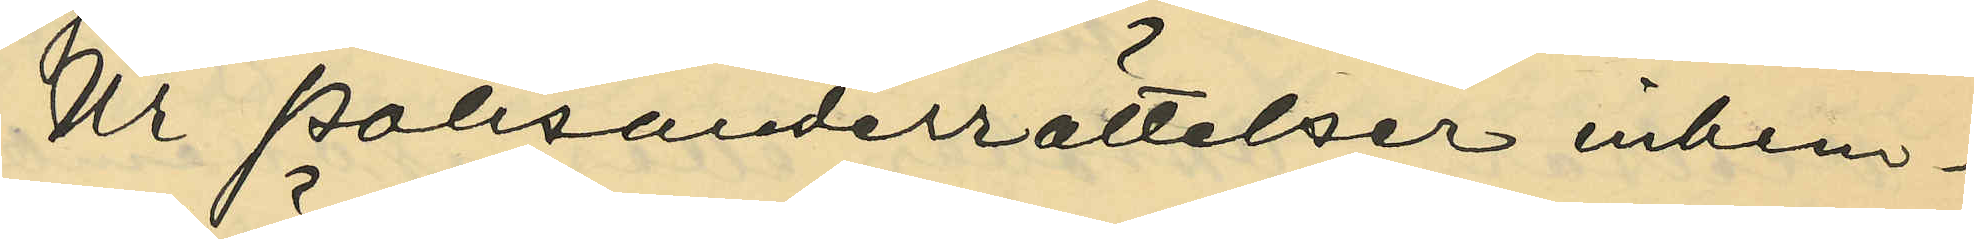Ur Polisunderrättelser inhem¬
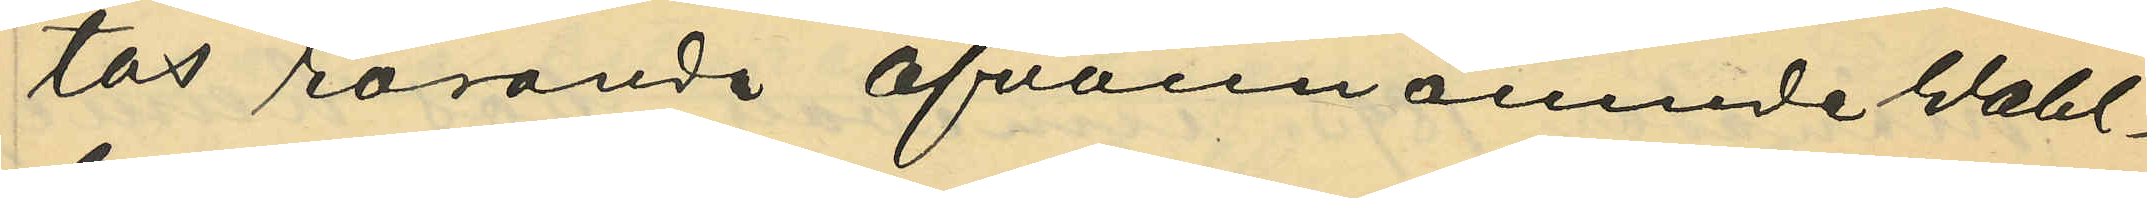tas rörande ofvannämnde Wahl¬
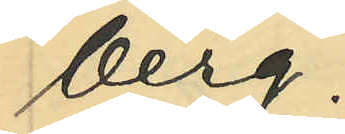berg:
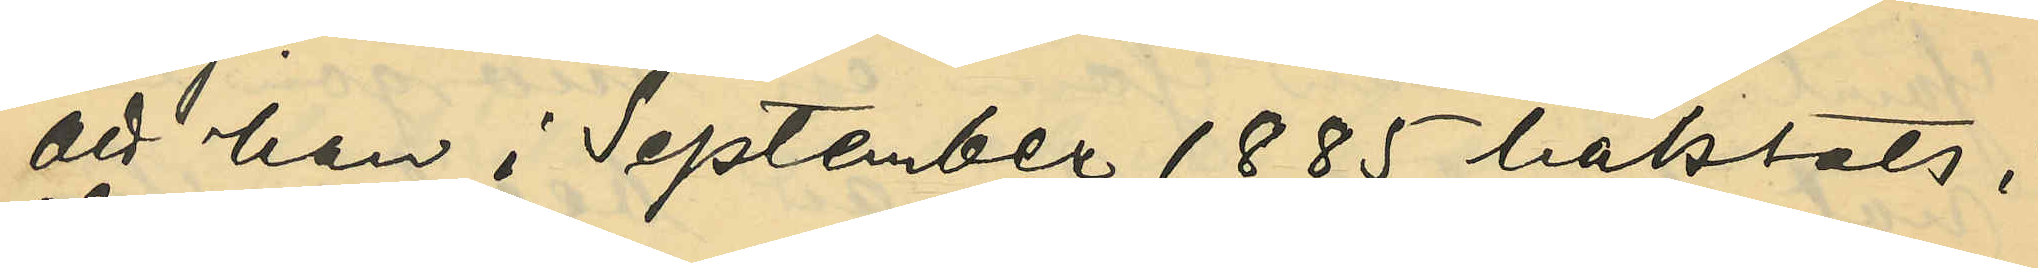att han i September 1885 häktats i
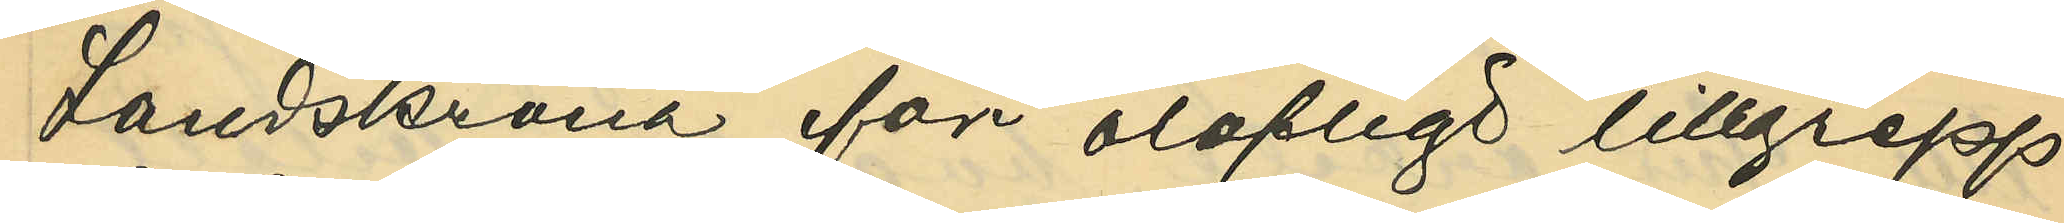Landskrona för olofligt tillgrepp
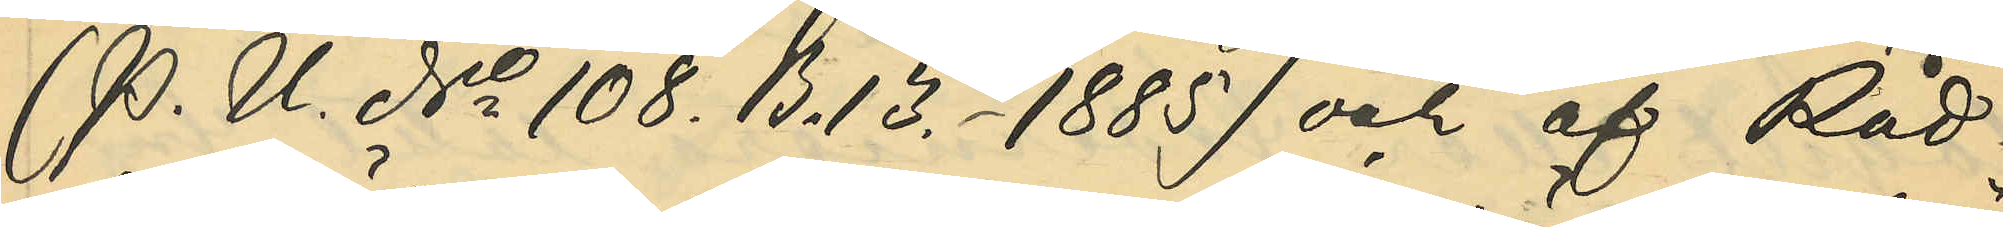(P. U. No 108. B. 13. - 1885) och af Råd¬
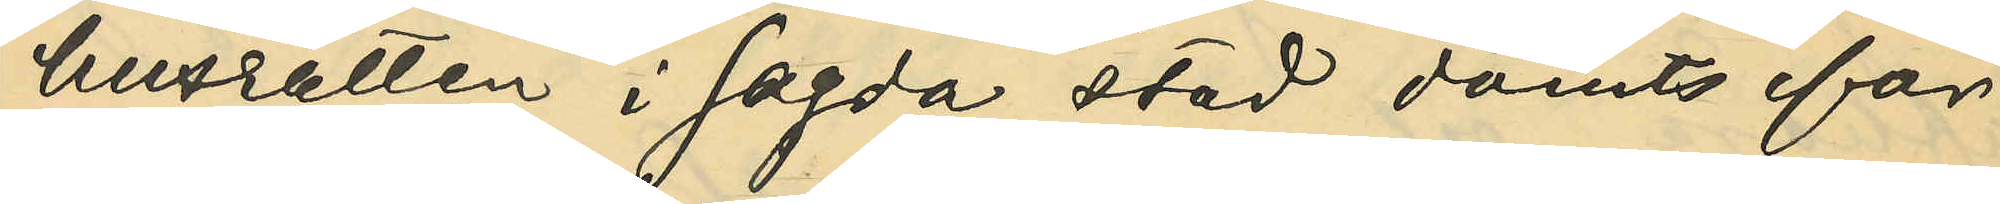husrätten i sagda stad dömts för
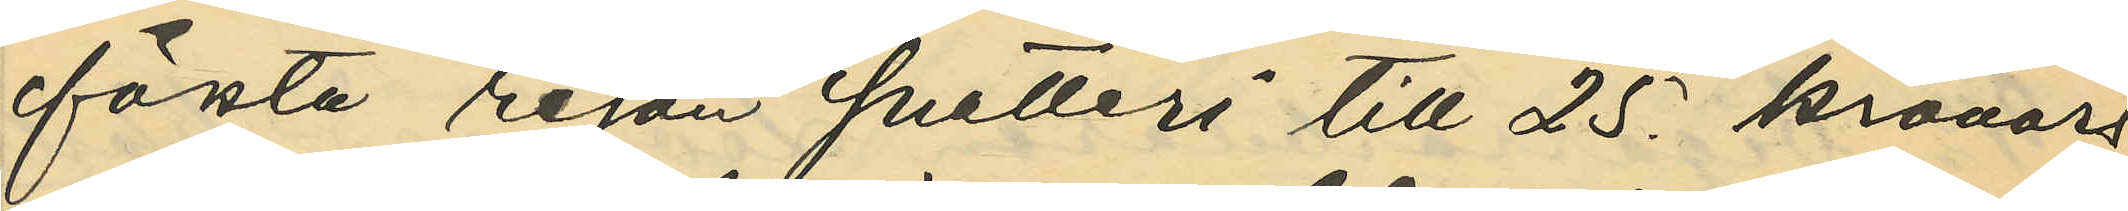första resan snatteri till 25. kronors
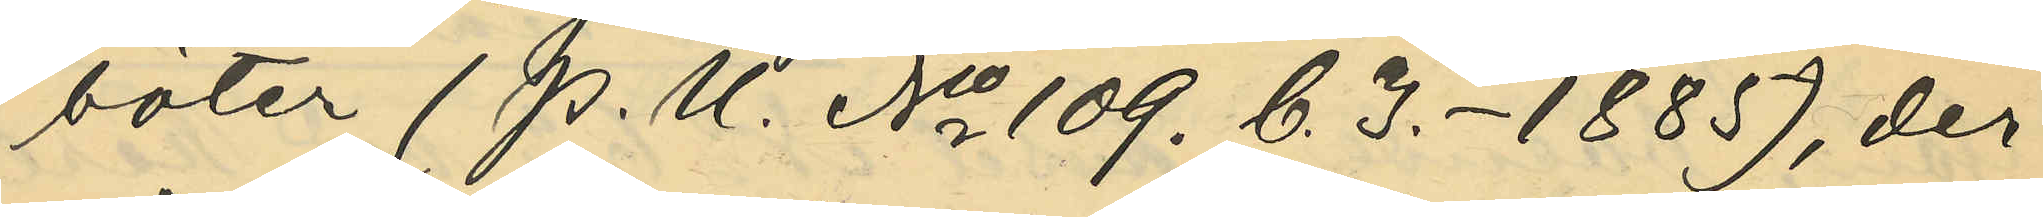böter (P. U. No 109. C. 3. - 1885), der¬
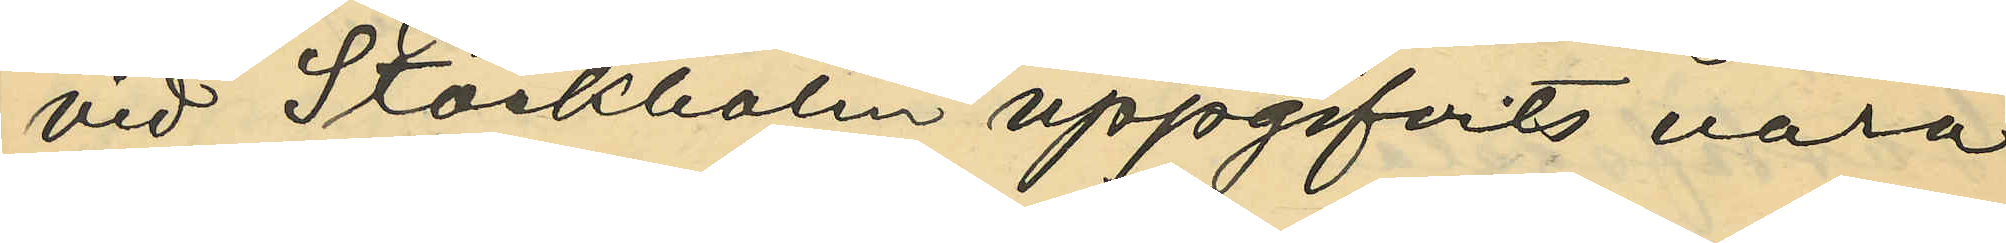vid Stockholm uppgifvits vara
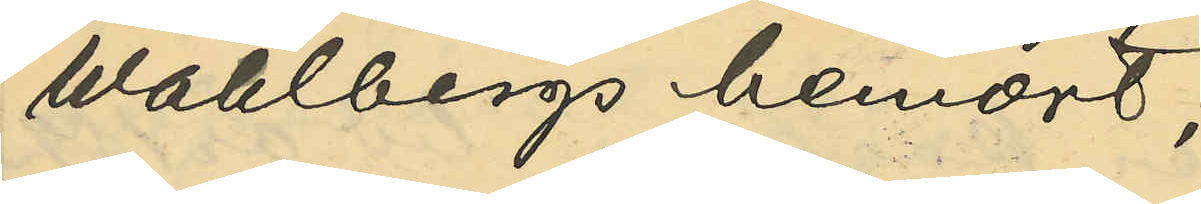Wahlbergs hemort;
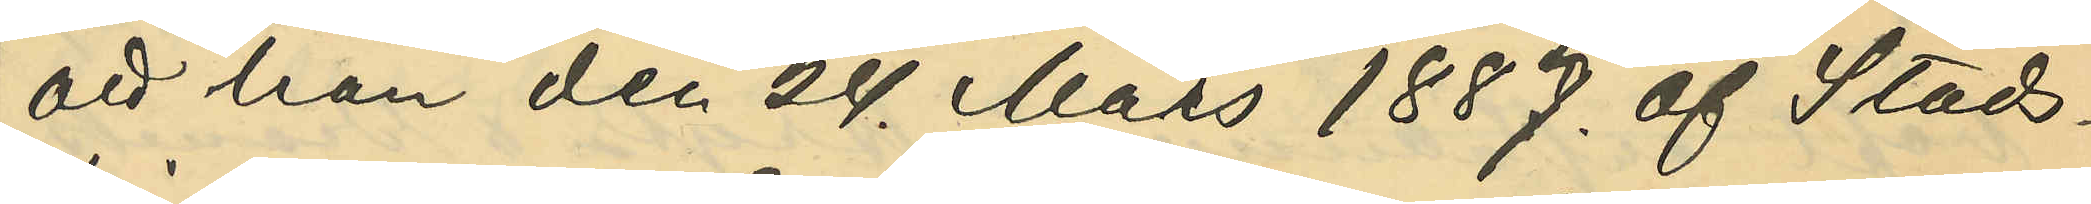att han den 24. Mars 1887. af Stads¬
